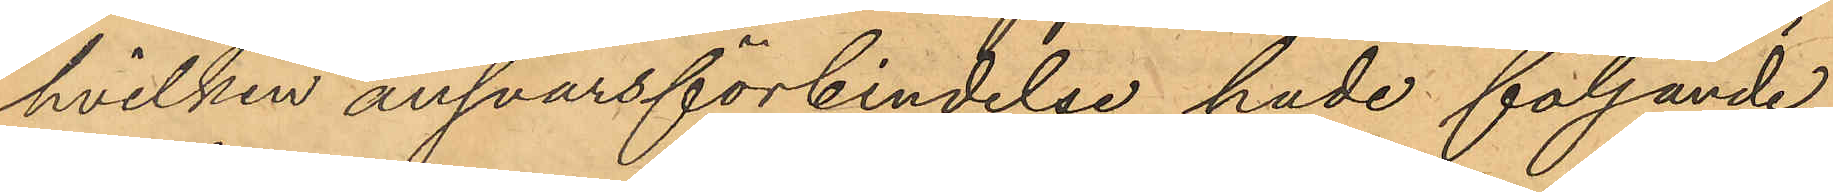hvilken ansvarsförbindelse hade följande
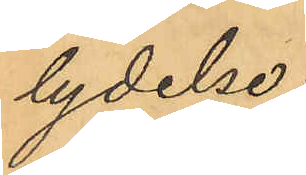lydelse:
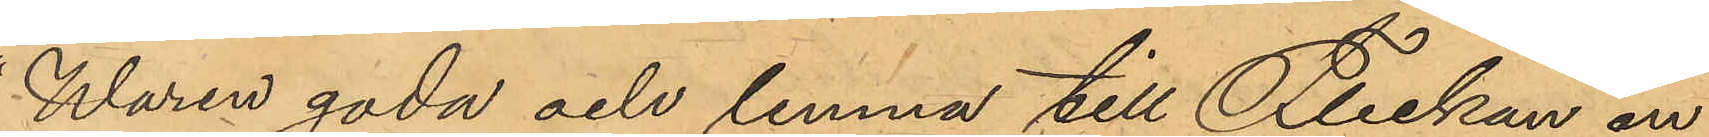Waren goda och lemna till Flickan en
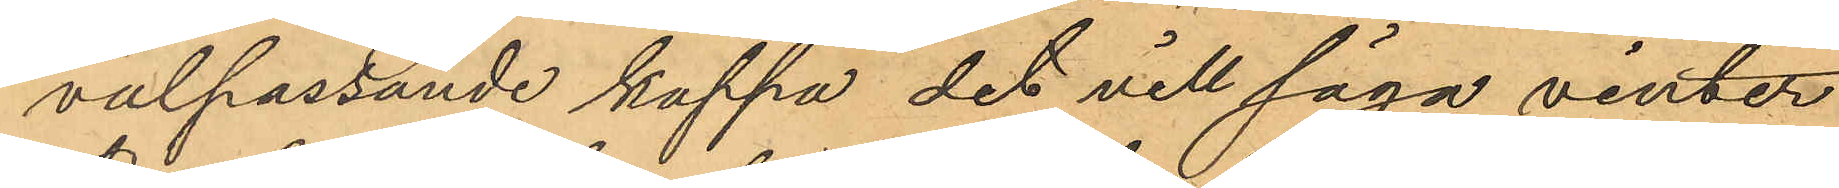välpassande kappa det vill säga vinter¬
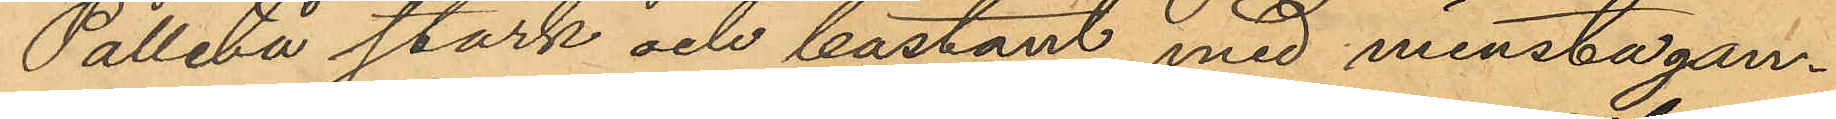Palletå stark och bastant med minsta gan¬
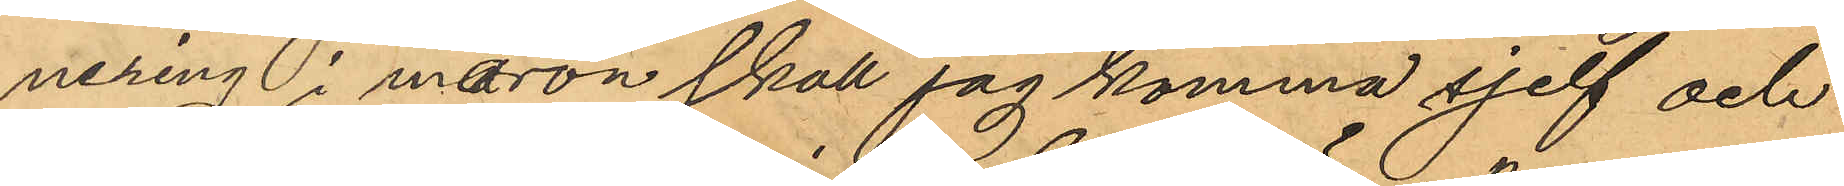nering i måron skall jag komma sjelf och
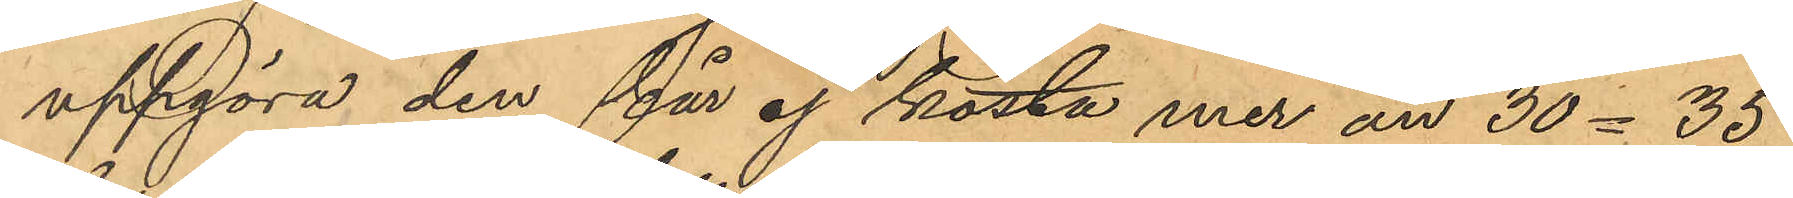uppgöra den får ej kosta mer än 30-35
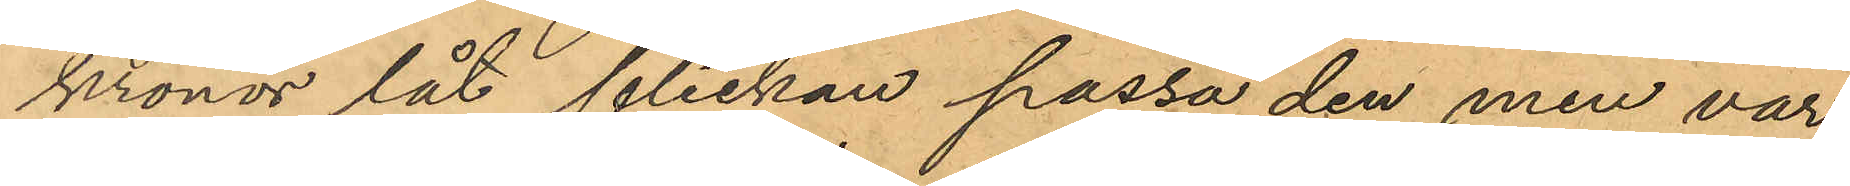kronor låt flickan passa den men var
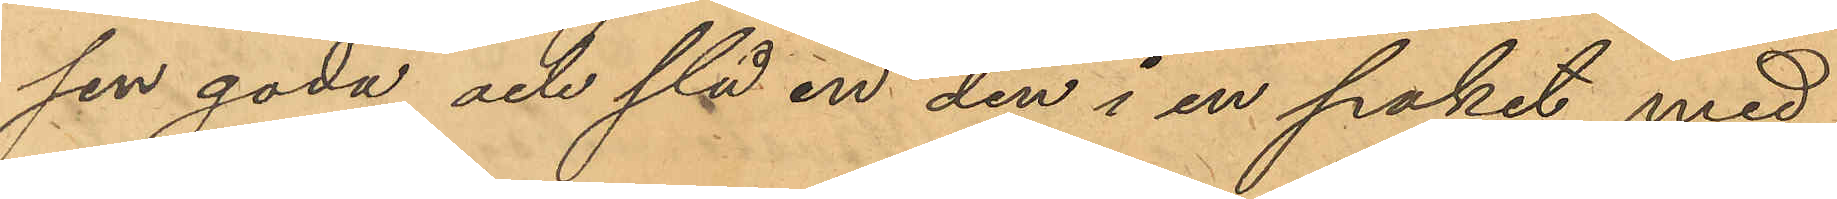sen goda och slå in den i en paket med
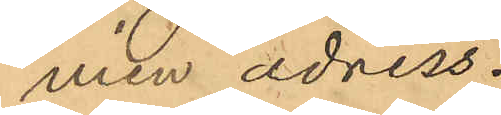min adress.
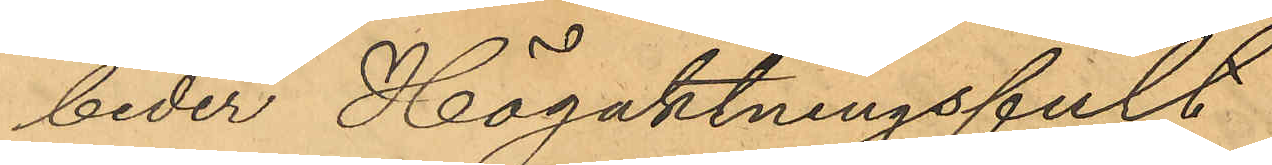beder Högaktningsfult
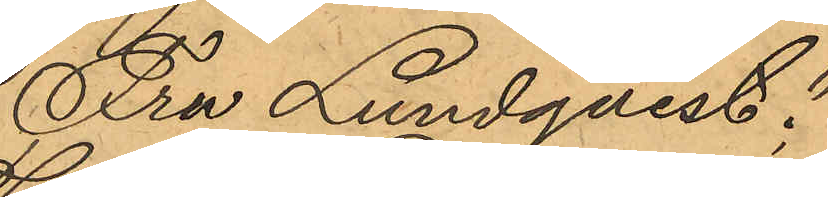Fru Lundqvist:
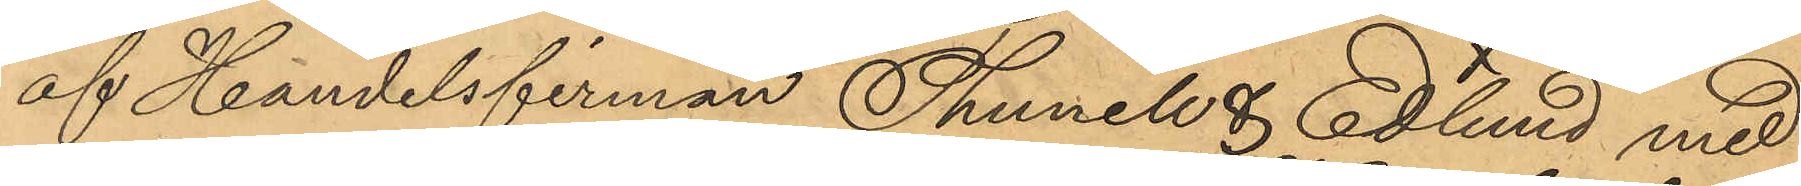af Handelsfirman Thunell & Edlund med
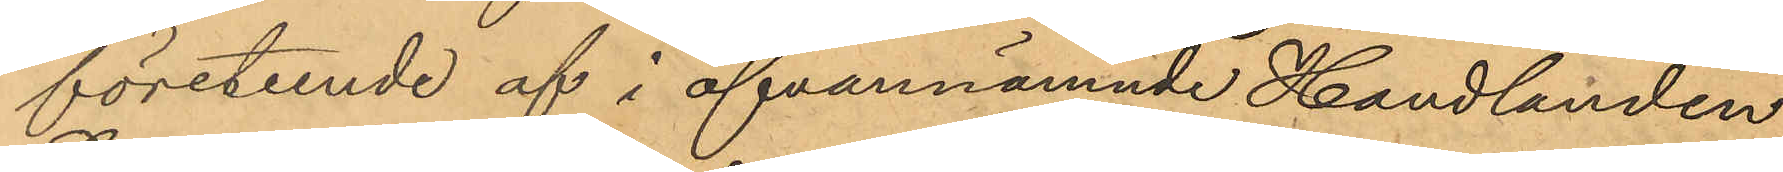företeende af i ofvannämnde Handlanden
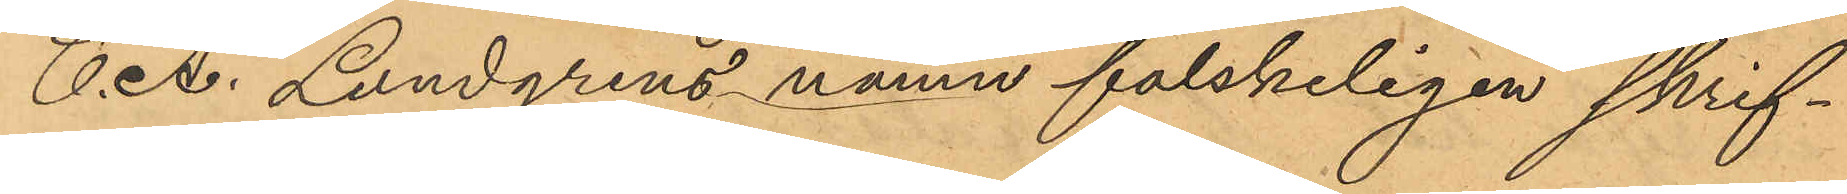C. A. Lundgrens namn falskeligen skrif¬
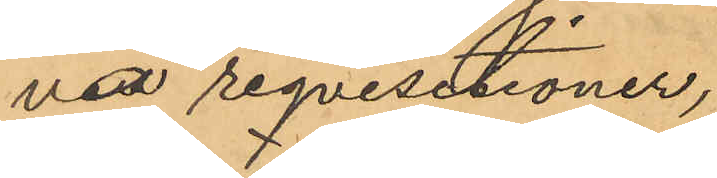vna reqvisitioner,
